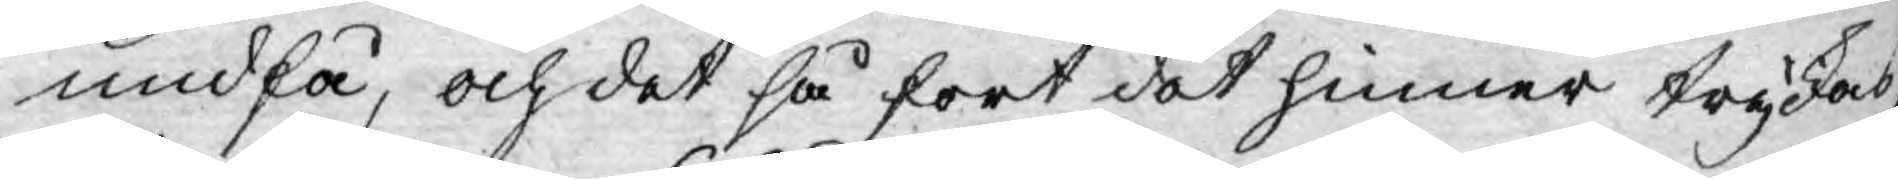undfå, och det så fort det hinner tryckas;
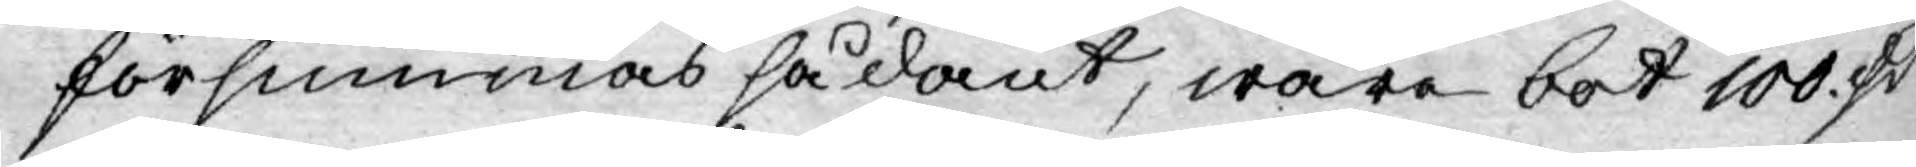försummas sådant, ware bot 100. d:r
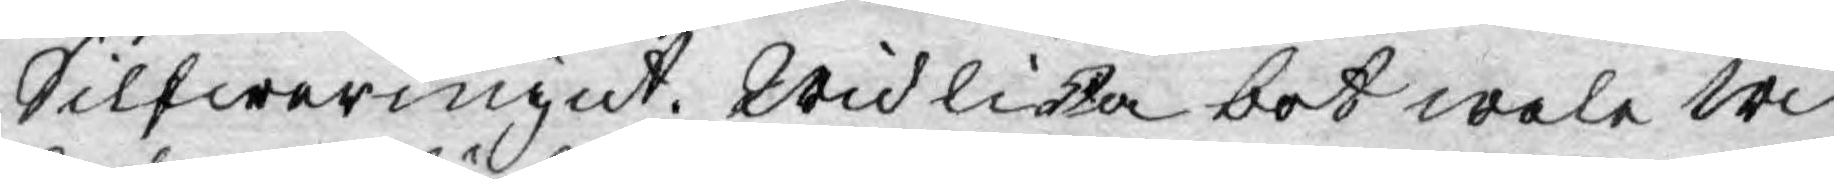Silfwermynt. Wid lika bot wale Wi
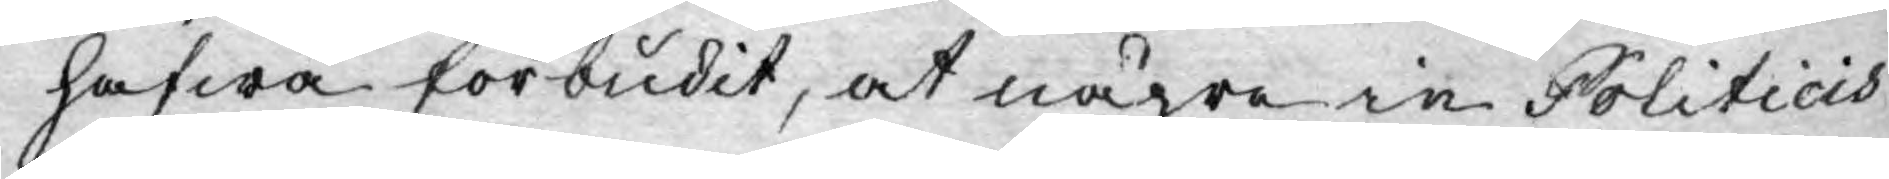hafwa förbudit, at någre in Politicis
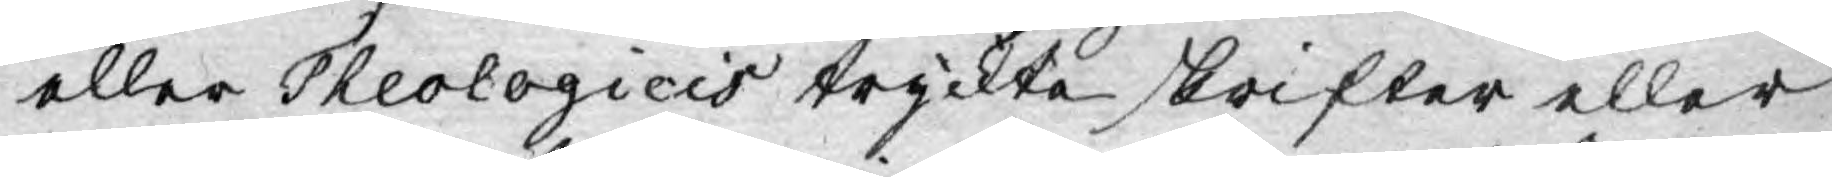eller Theologicis tryckte skrifter eller
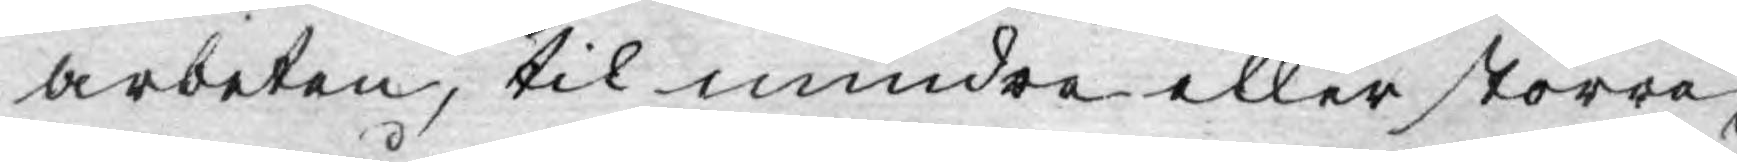arbeten, til mindre eller större,
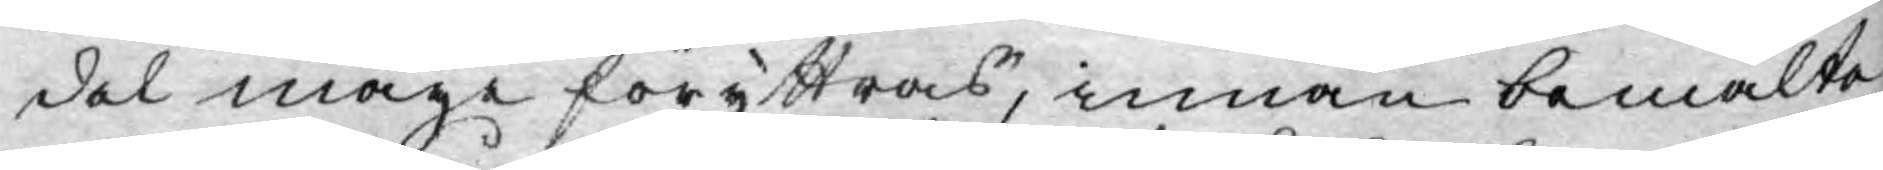del måge föryttras, innan bemälte
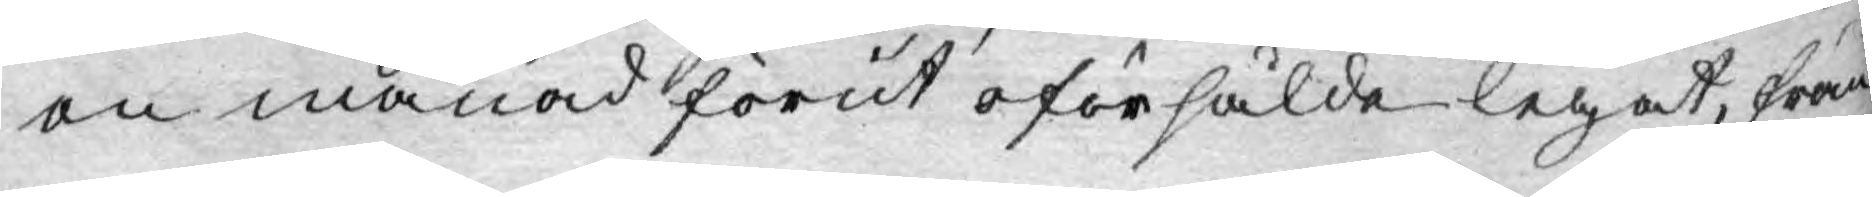en månad förut oförsålde legat, från
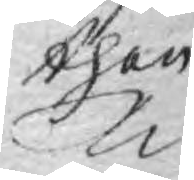then
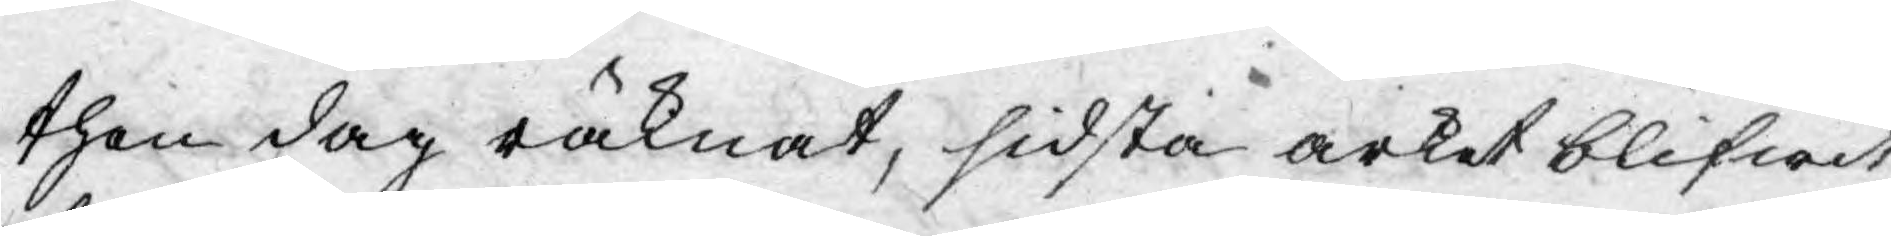then dag räknat, sidsta arket blifwit
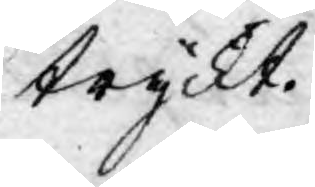tryckt.
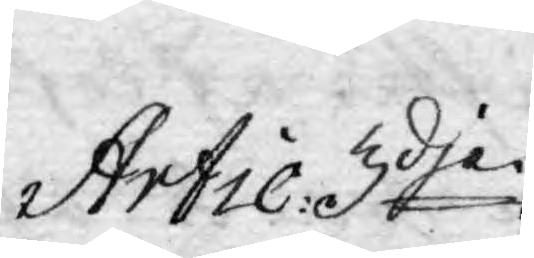Artic: 3dje
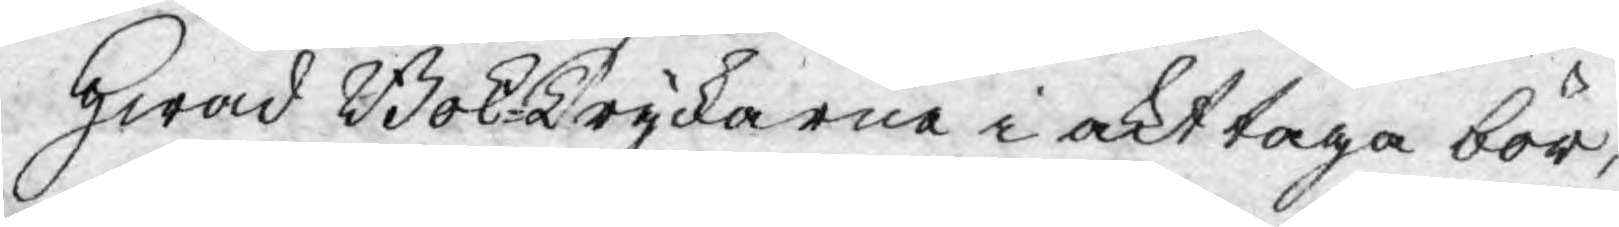Hwad Bok-Tryckarne i akt taga bör,
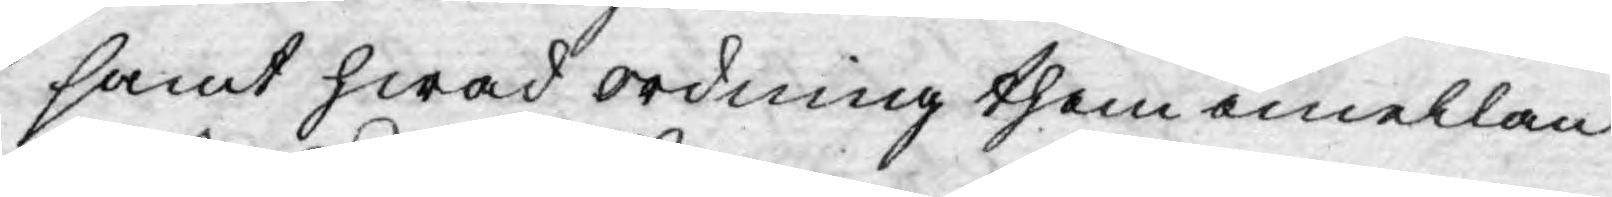samt hwad ordning them emellan
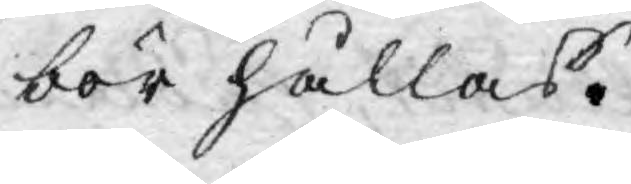bör hållas.
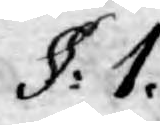§: 1.
